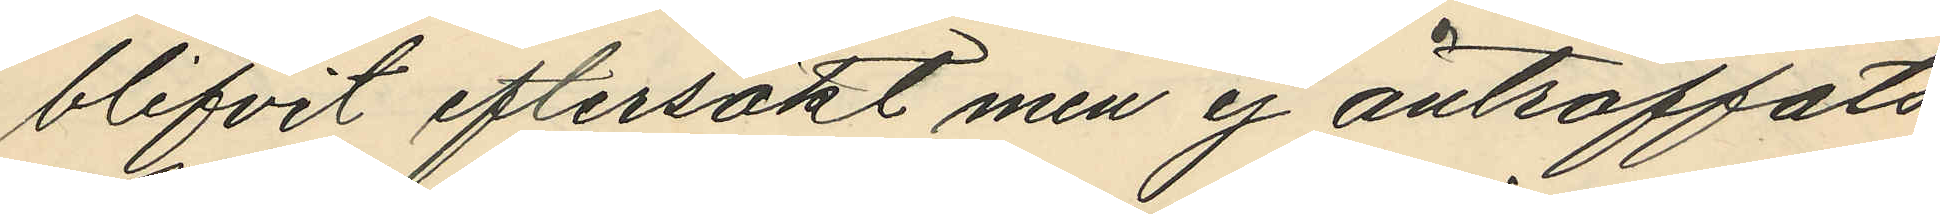blifvit eftersökt men ej anträffats
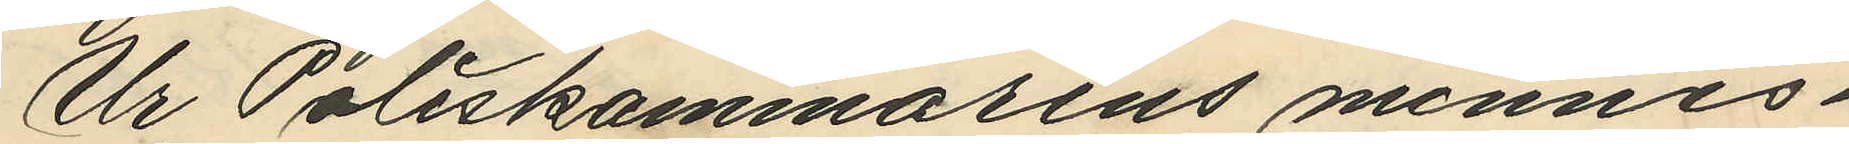Ur Poliskammarens minnes¬
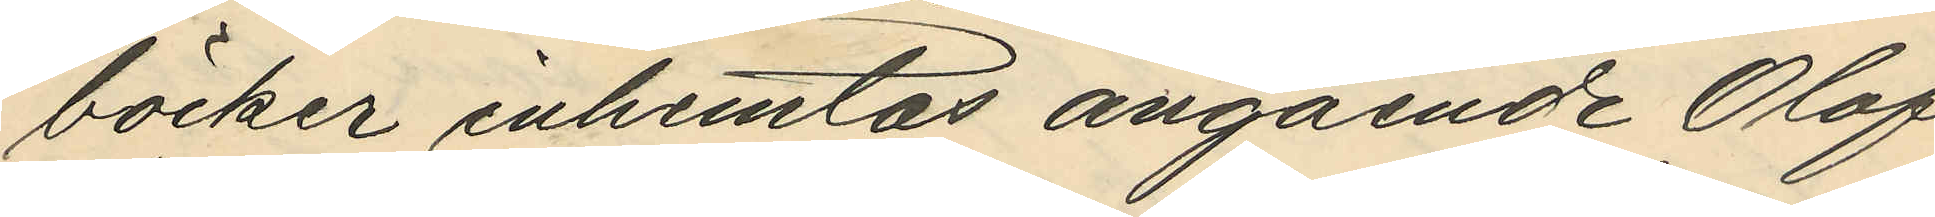böcker inhemtas angående Olof
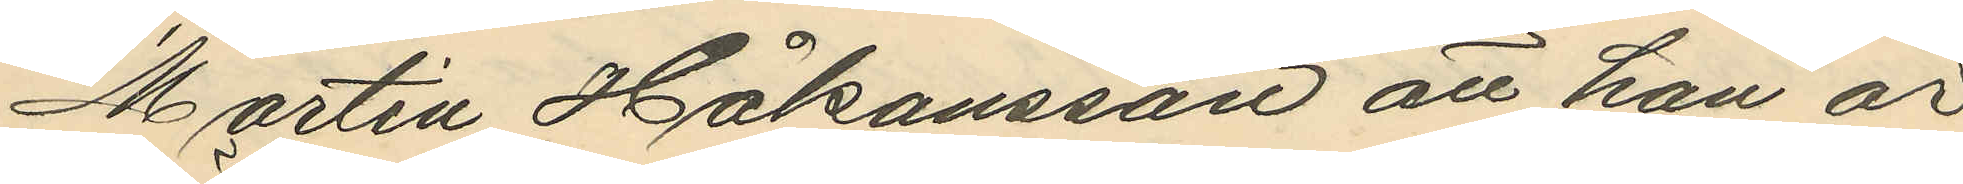Martin Håkansson att han är
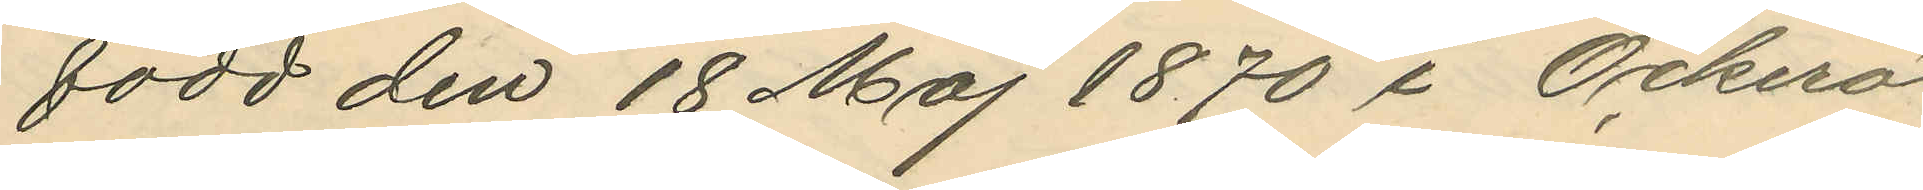född den 18 Maj 1870 i Öckerö
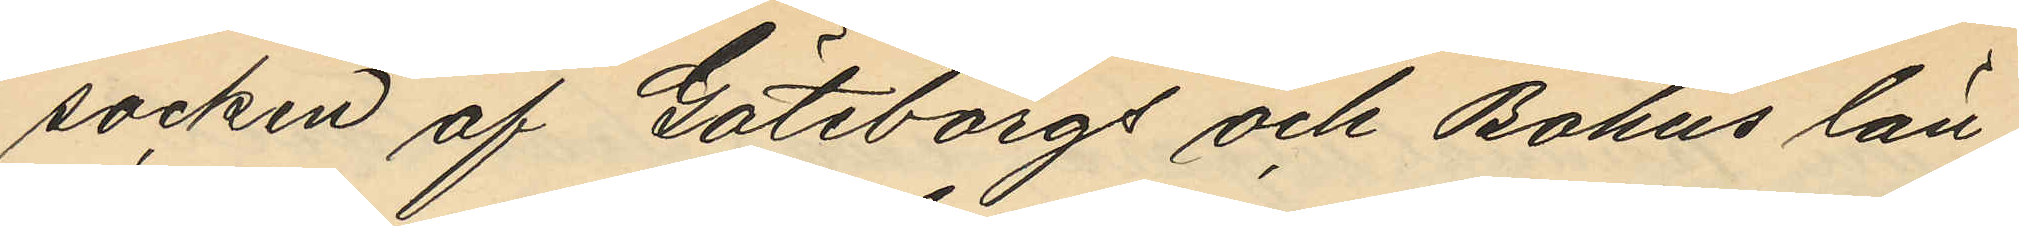socken af Göteborgs och Bohus län;
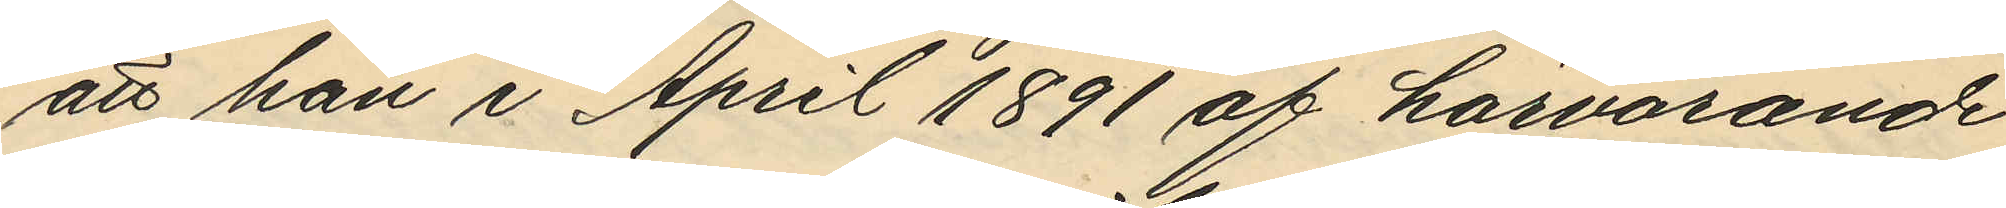att han i April 1891 af härvarande
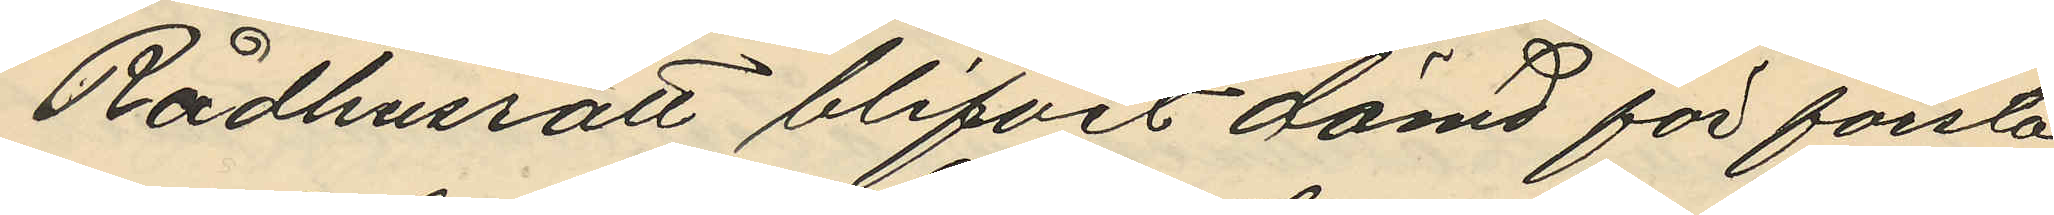Rådhusrätt blifvit dömd för första
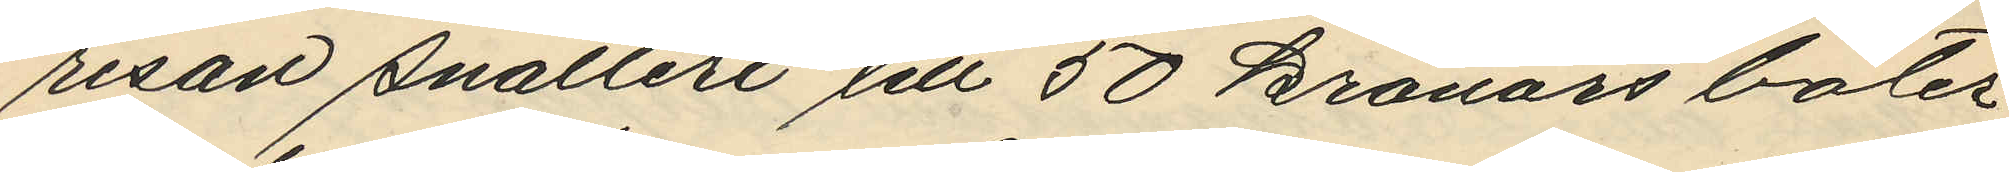resan snatteri till 50 kronors böter,
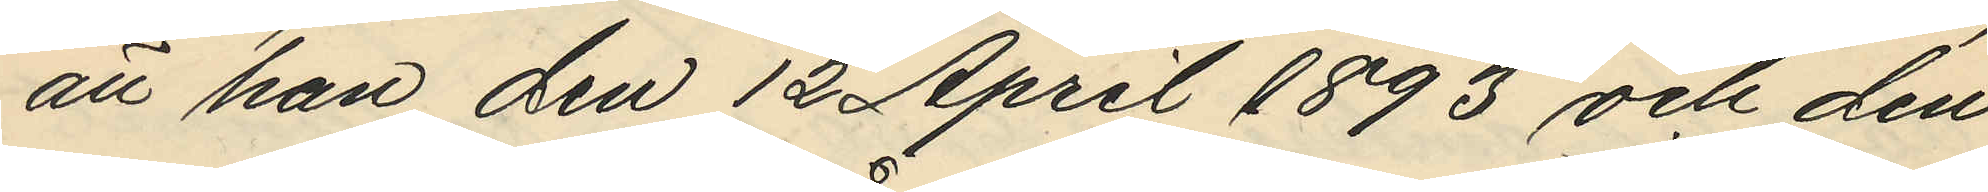att han den 12 April 1893 och den
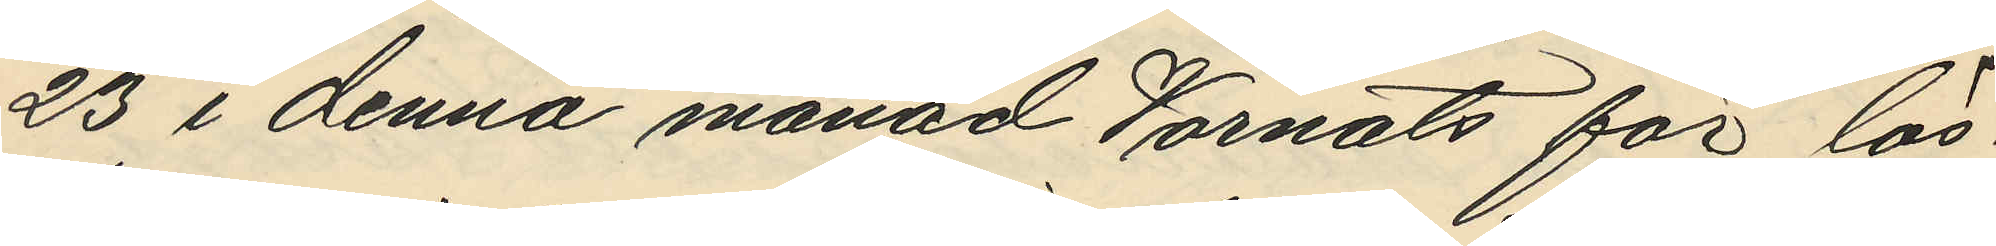23 i denna månad Varnats för lös¬
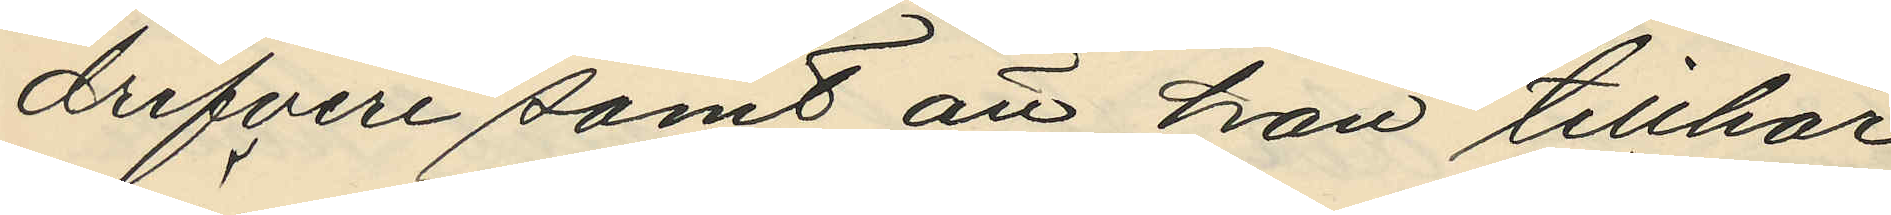drifveri samt att han tillhör
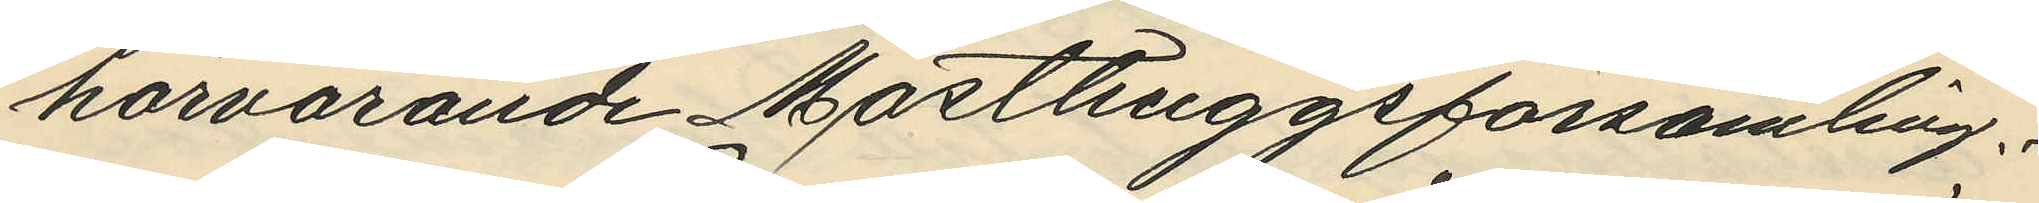härvarande Masthuggsförsamling.
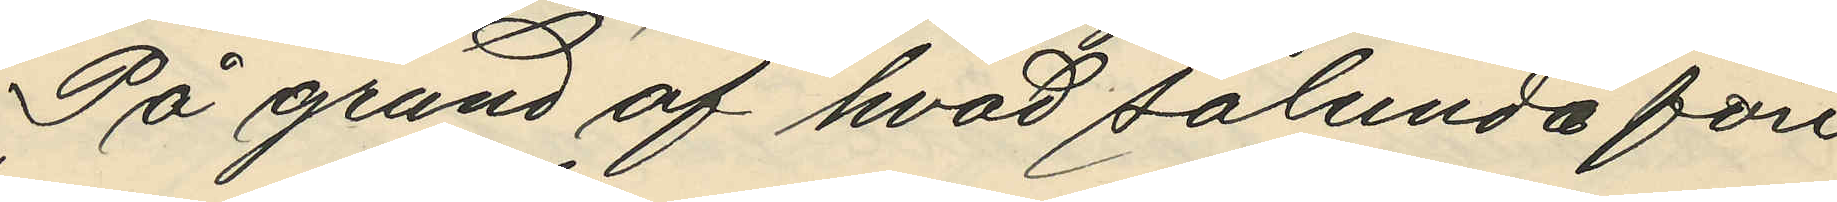På grund af hvad sålunda före
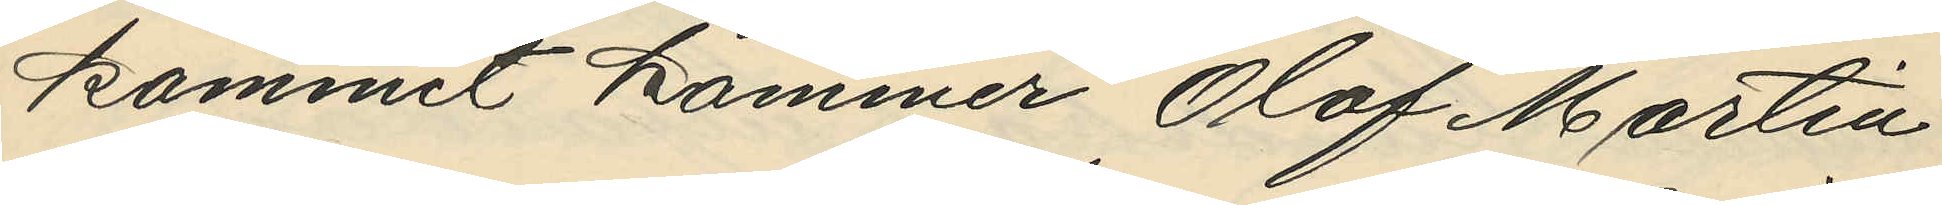kommit kommer Olof Martin
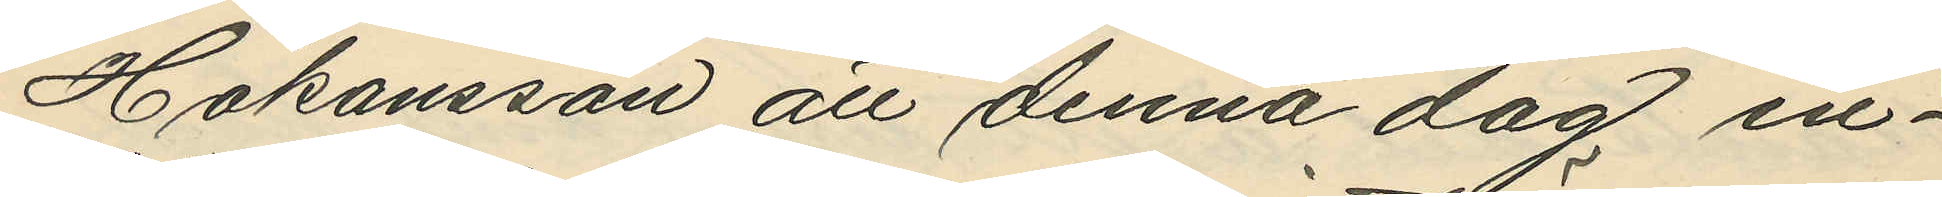Håkansson att denna dag in¬
